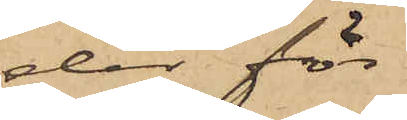der för
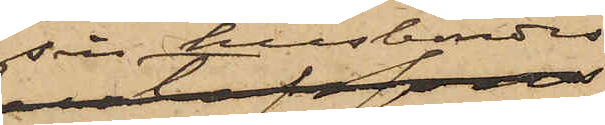sin husbondes
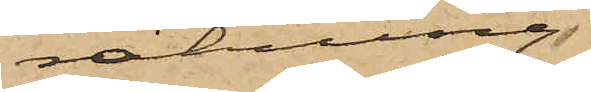räkning
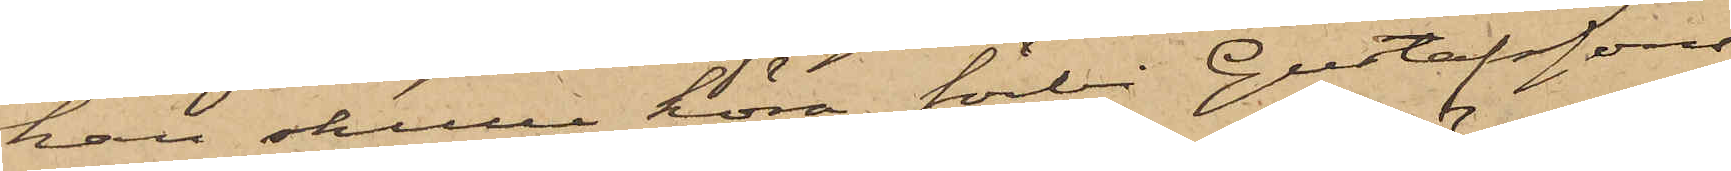han skulle köra förbi Gustafssons
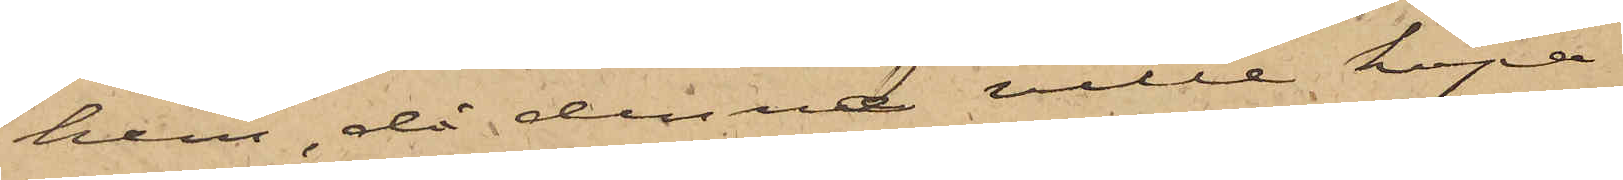hem, då denna ville köpa
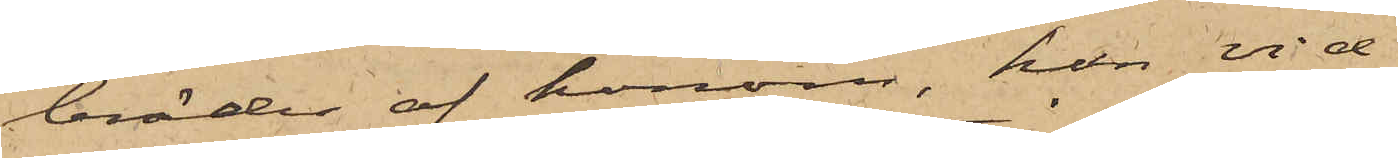bräder af honom, han vid
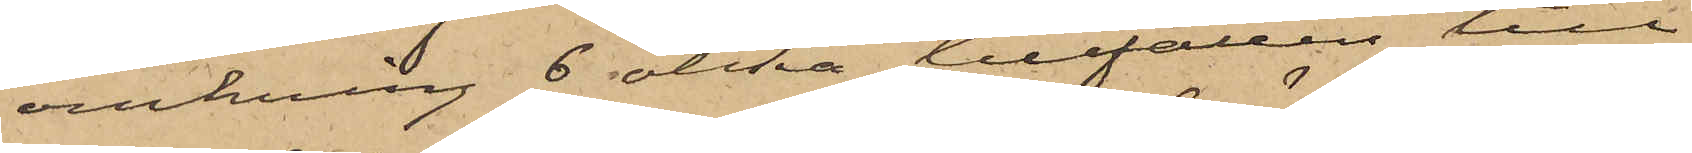omkring 6 olika tillfällen till
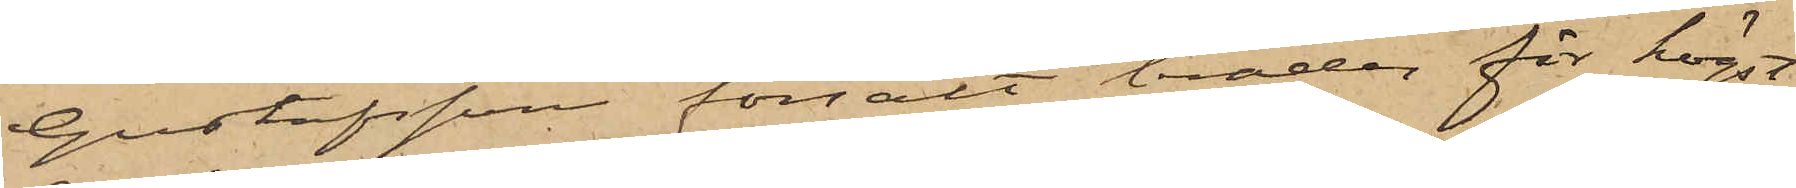Gustafsson försålt bräder för högst
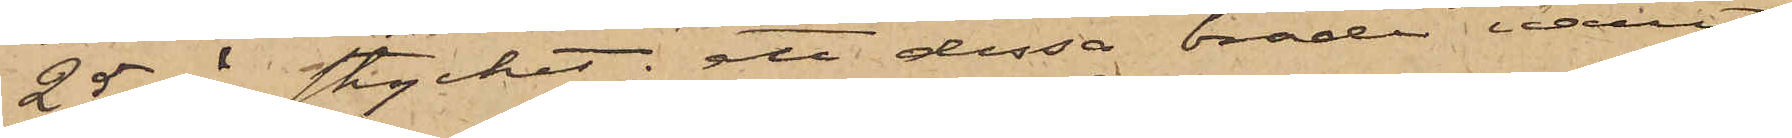25 öre stycket; att dessa bräder varit
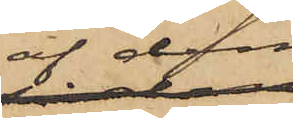af dem
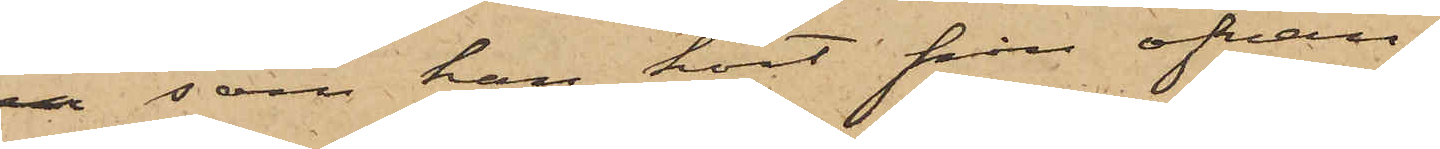 som han kort från ofvan¬
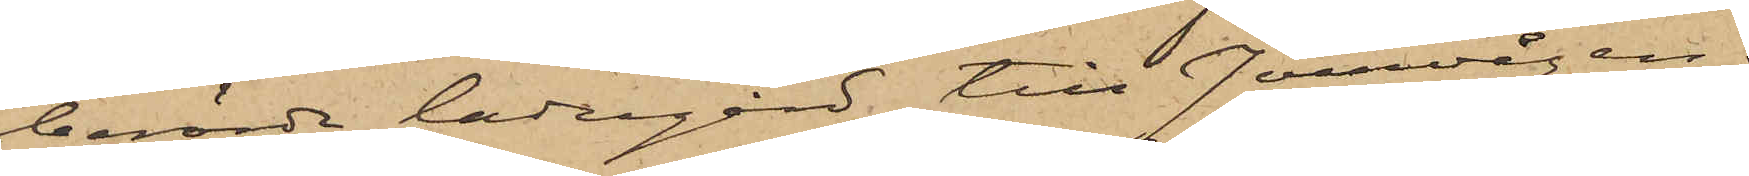berörde ladugård till Jernvågen;
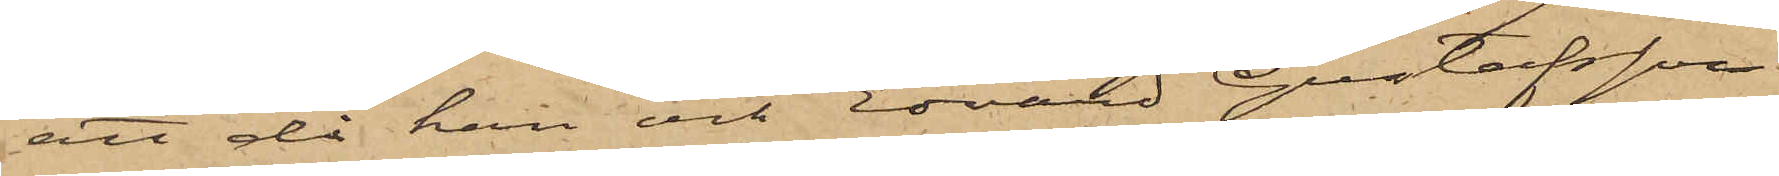att då han och Edvard Gustafsson
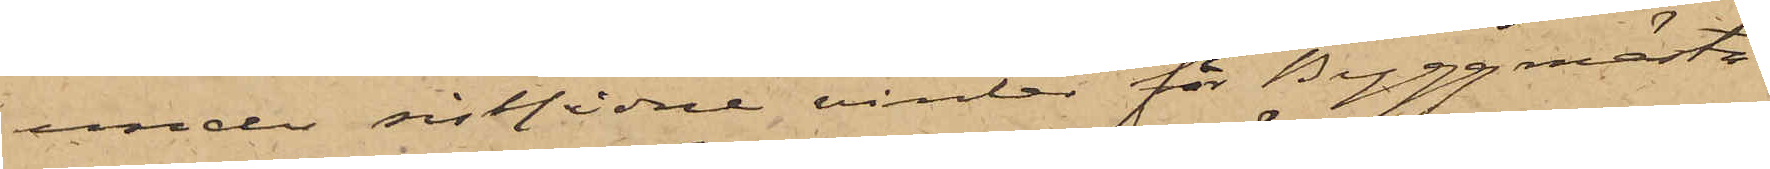under sistlidne vinter för Byggmästa¬
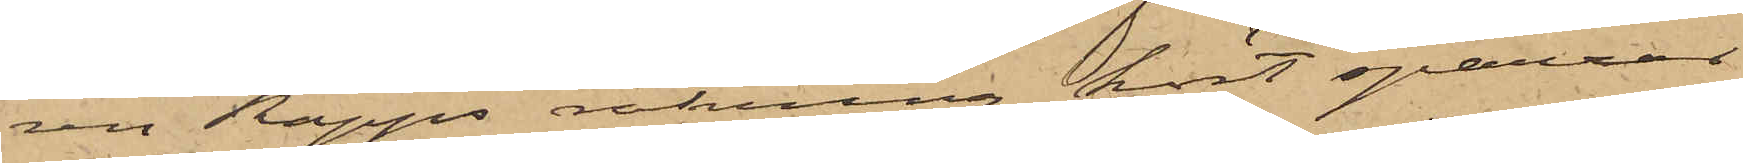ren Rapps räkning kört sparrar
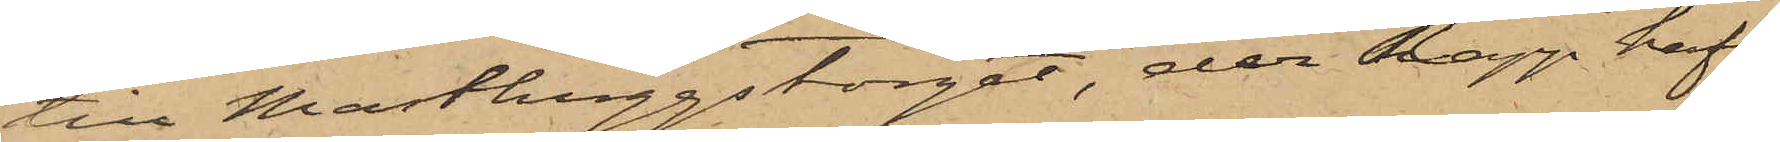till Masthuggstorget, der Rapp haft
